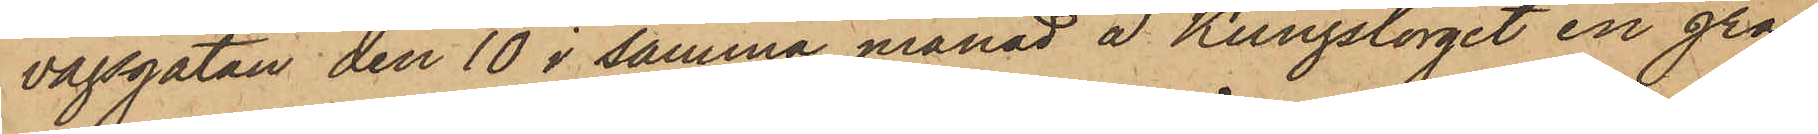vägsgatan den 10 i samma månad å Kungstorget en grå
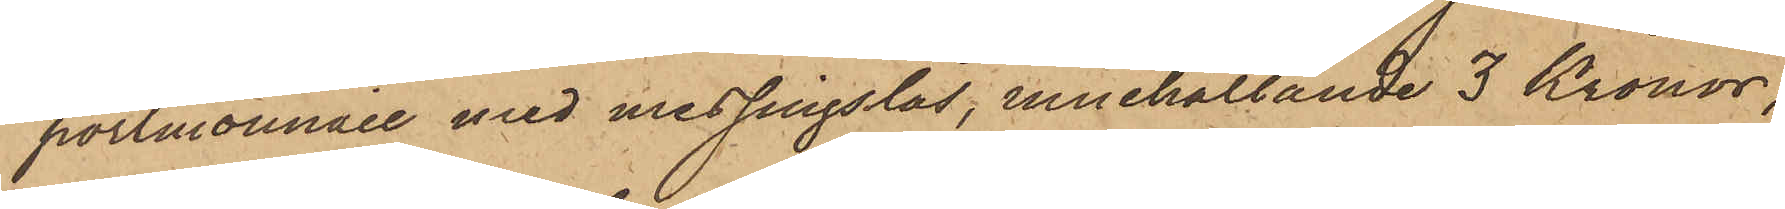portmonnaie med messingslås, innehållande 3 Kronor;
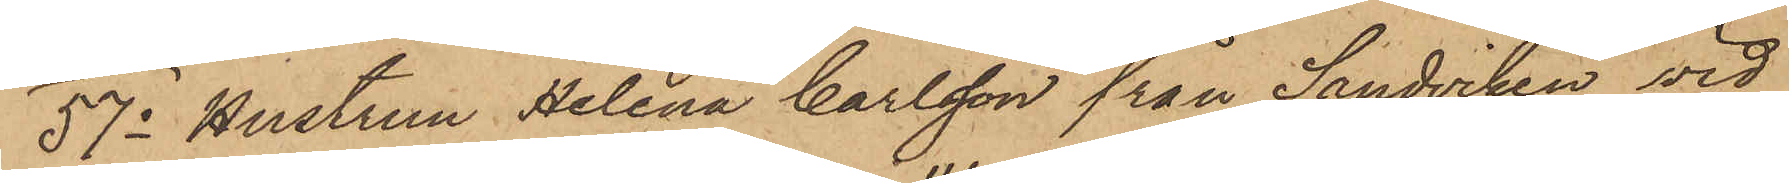57o Hustrun Helena Carlsson från Sandviken vid
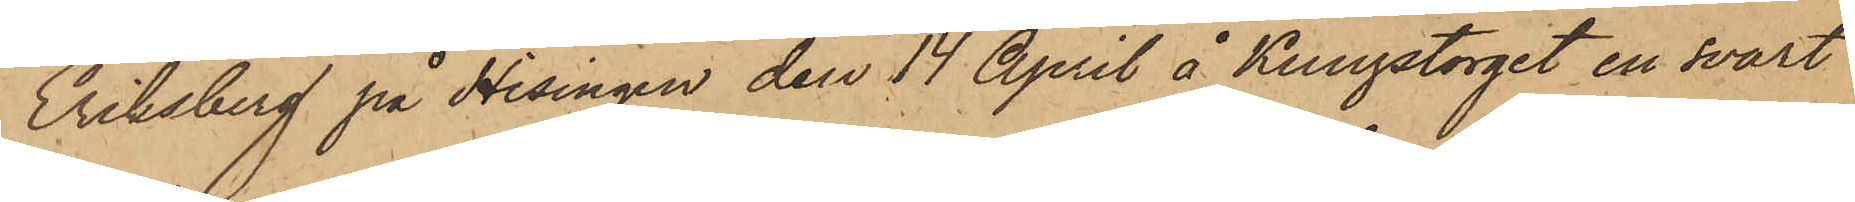Eriksberg på Hisingen den 14 April å Kungstorget en svart
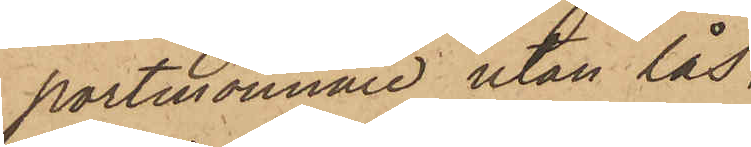portmonnaie utan lås,
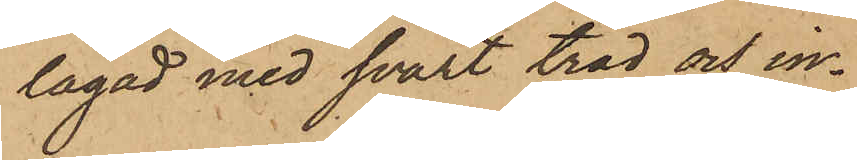lagad med svart tråd och in¬
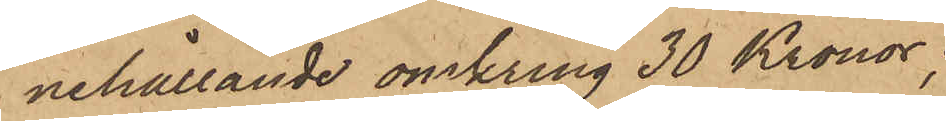nehållande omkring 30 Kronor;
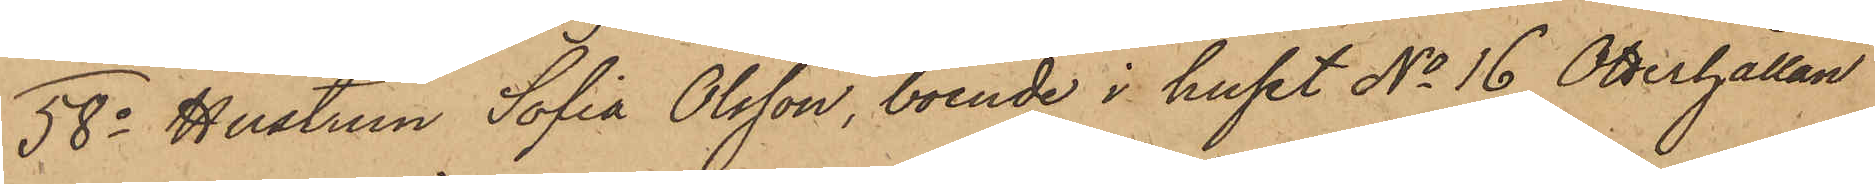58o Hustrun Sofia Olsson, boende i huset No 16 Otterhällan
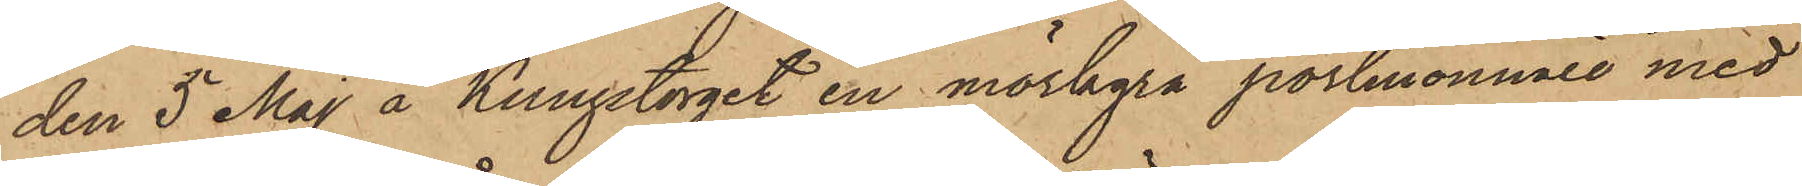den 5 Maj å Kungstorget en mörkgrå portmonnaie med
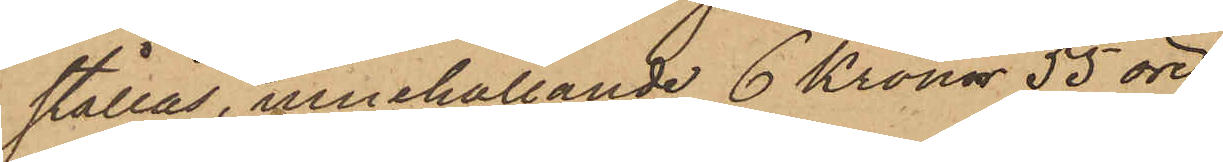stållås, innehållande 6 Kronor 55 öre;
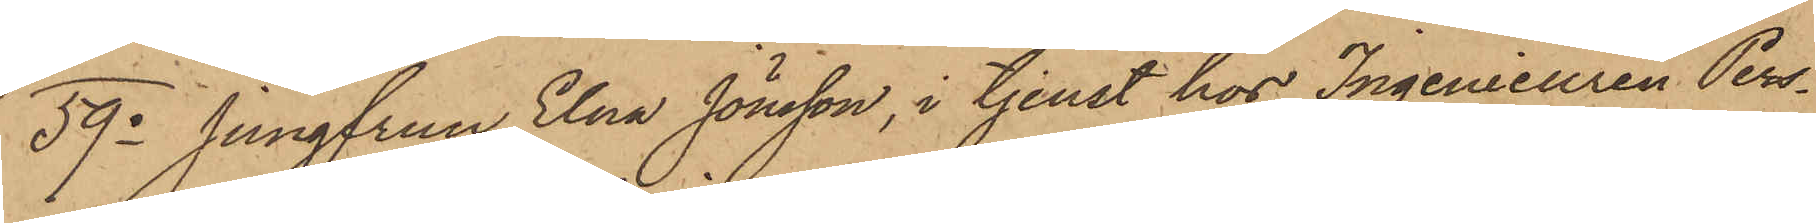59o Jungfrun Elna Jönsson, i tjenst hos Ingenieuren Pers¬
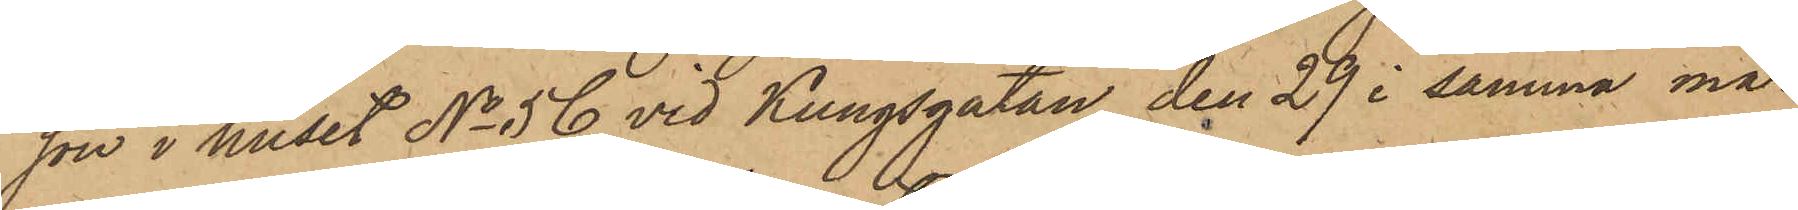son i huset No 56 vid Kungsgatan den 29 i samma må¬
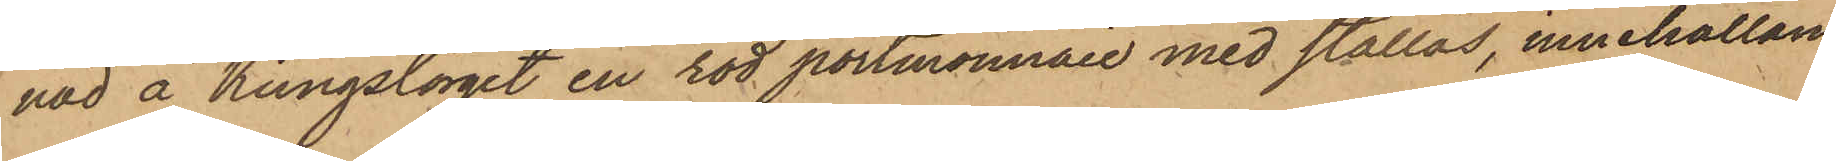nad å Kungstorget en röd portmonnaie med stållås, innehållan¬
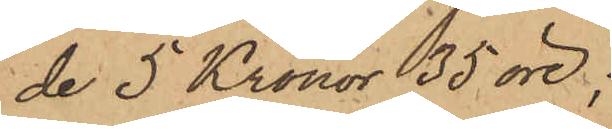de 5 Kronor 35 öre;
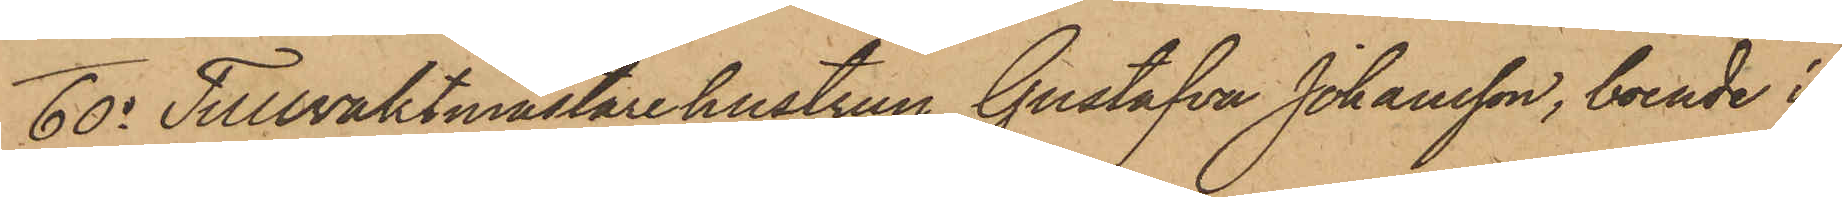60o Tullvaktmästarehustrun Gustafva Johansson, boende i
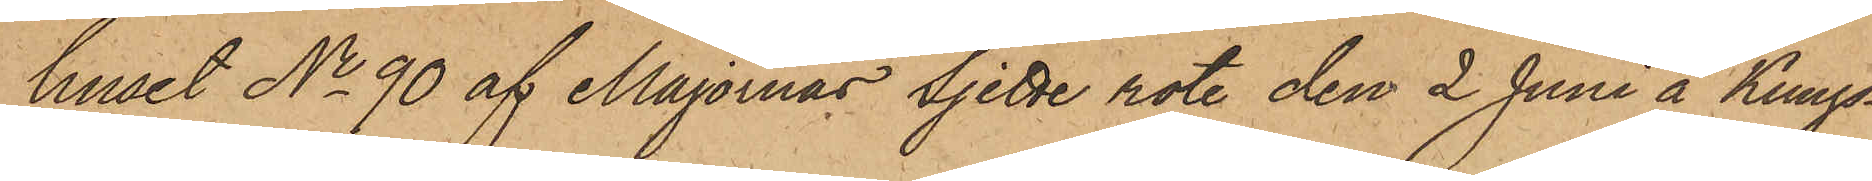huset No 90 af Majornas Sjette rote den 2 Juni å Kungs¬
